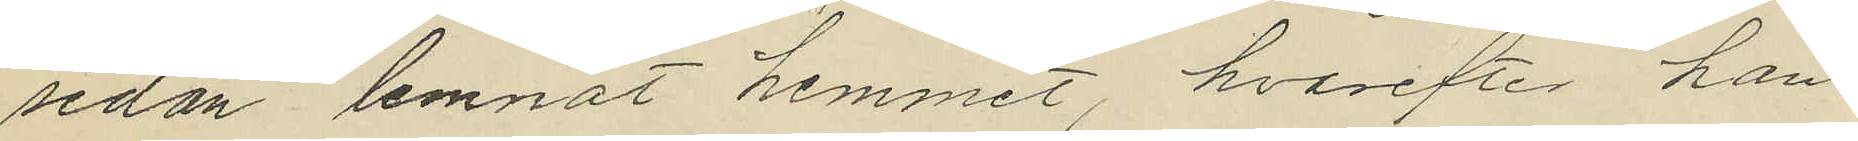sedan lemnat hemmet, hvarefter han
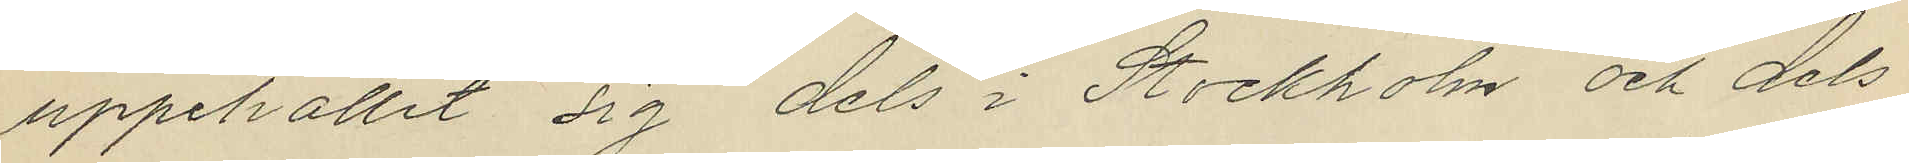uppehållit sig dels i Stockholm och dels
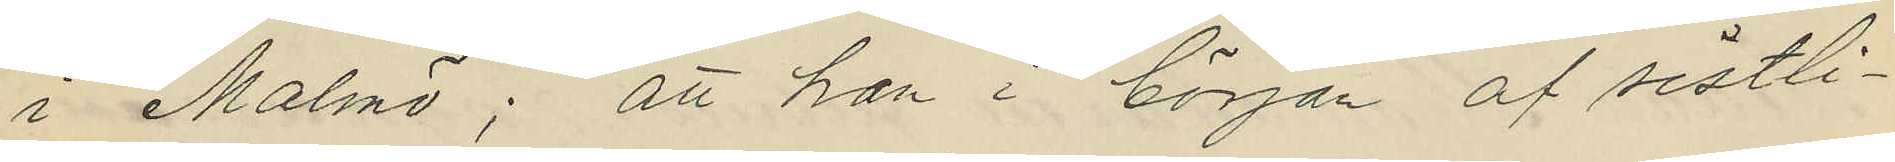i Malmö; att han i början af sistli¬
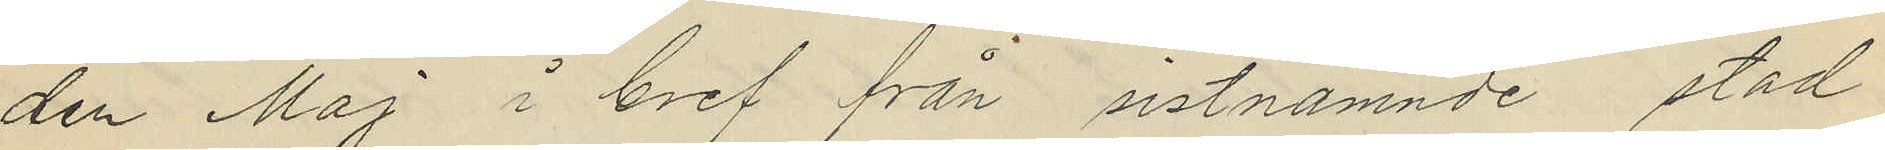den Maj i bref från sistnämnde stad
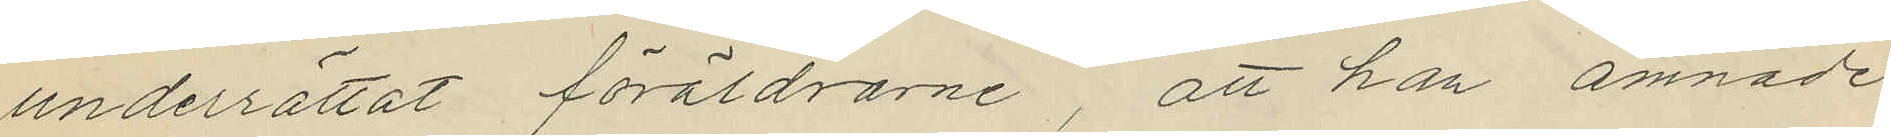underrättat föräldrarne, att han ämnade
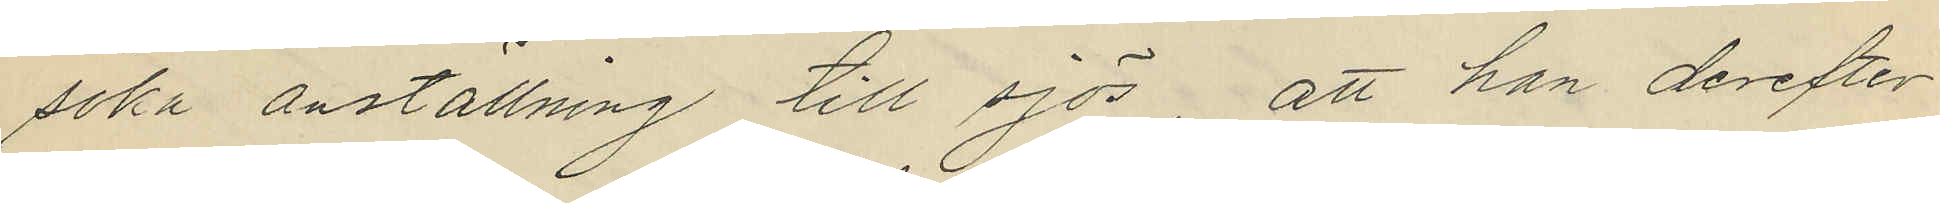söka anställning till sjös, att han derefter
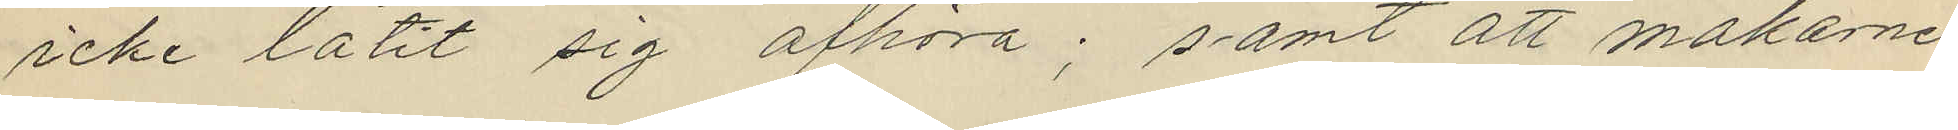icke låtit sig afhöra; samt att makarne
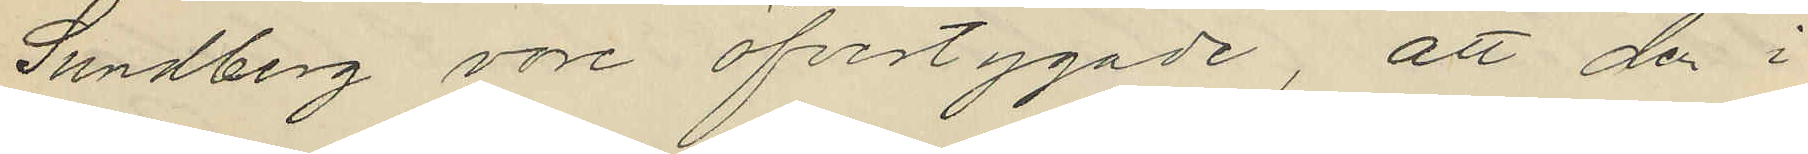Sundberg vore öfvertygade, att den i
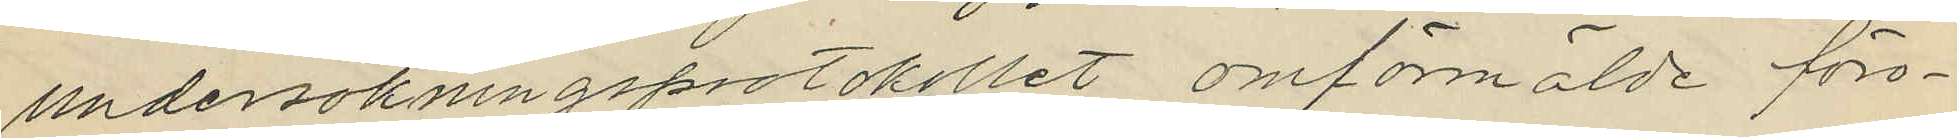undersökningsprotokllet omförmälde föro¬
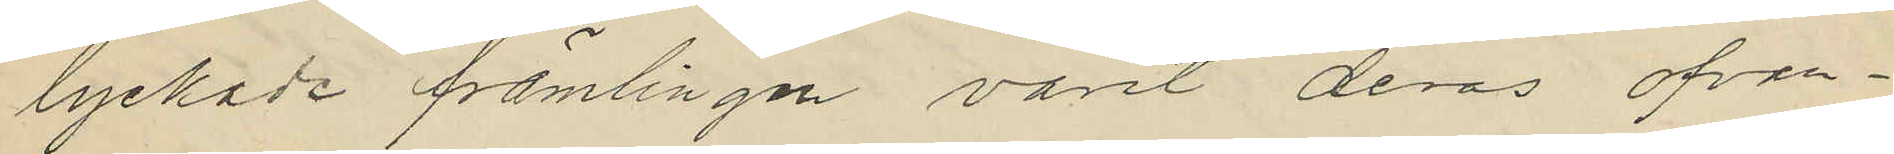lyckade främlingen varit deras ofvan¬
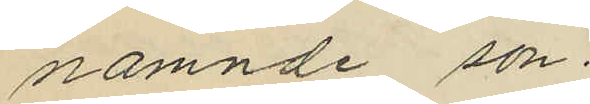nämnde son.
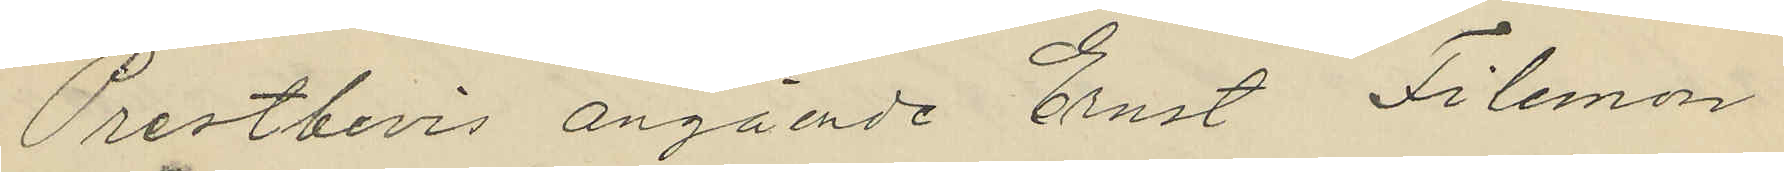Prestbevis angående Ernst Filemon
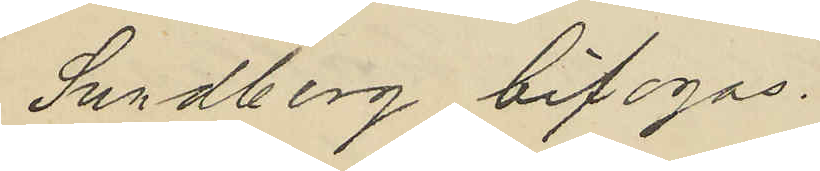Sundberg bifogas.
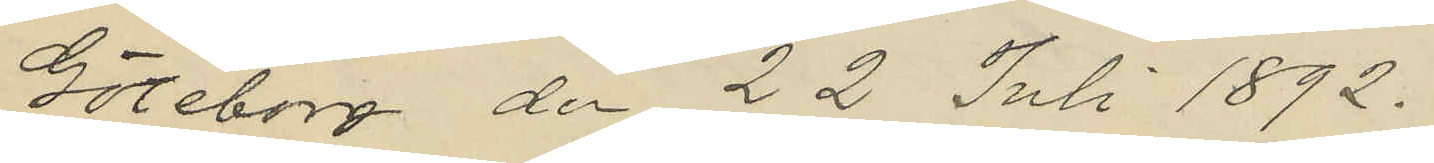Göteborg den 22 Juli 1892.
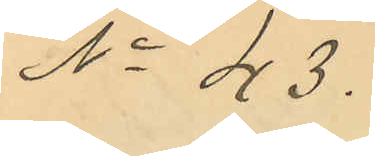No 43.
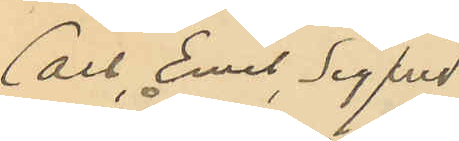Carl Emil Sigfrid
